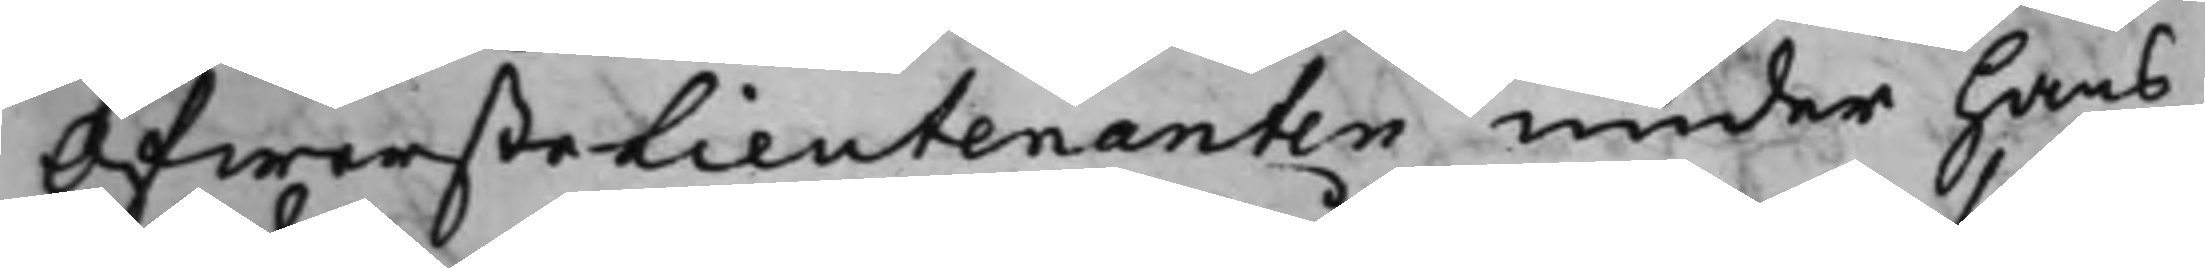ÖfwersteLieutenanten under hans
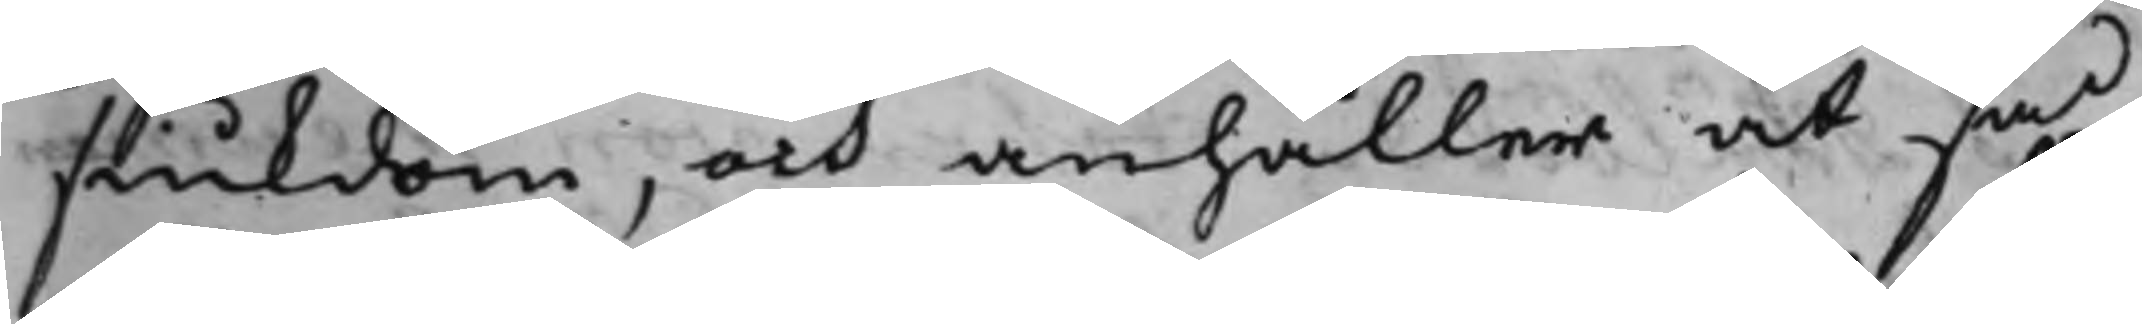siukdom, och anhåller at så
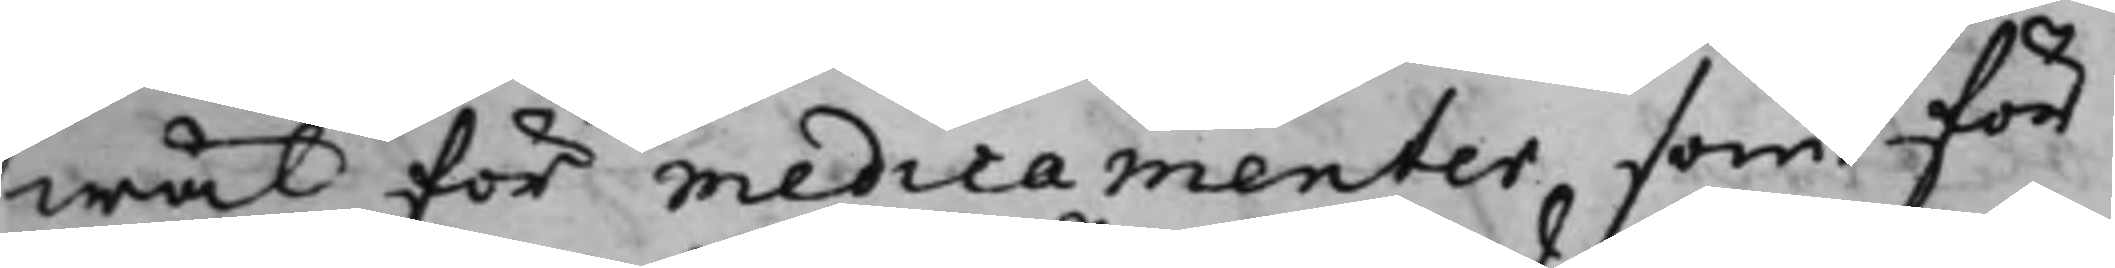wäl för medicamenter som för
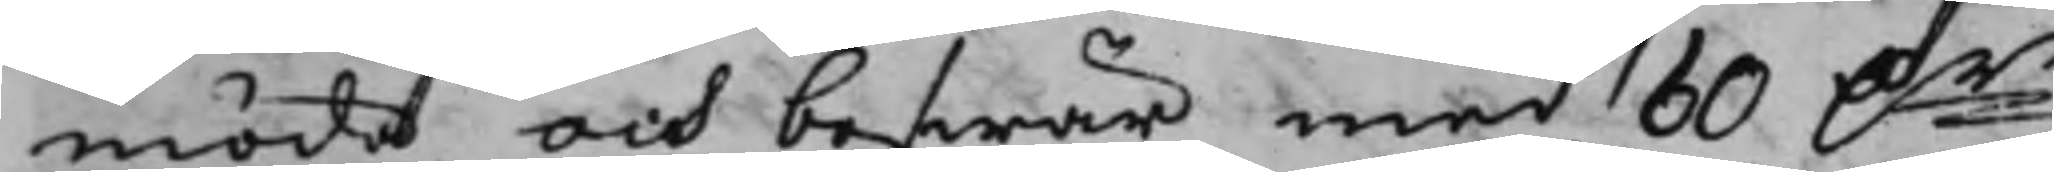möda och beswär med 60 D.r
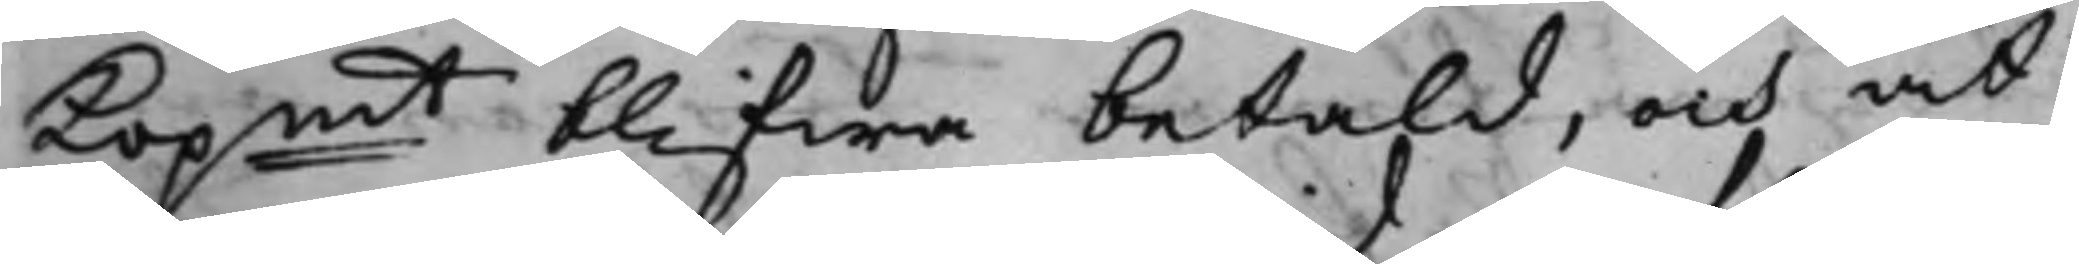Kopmt blifwa betald, och at
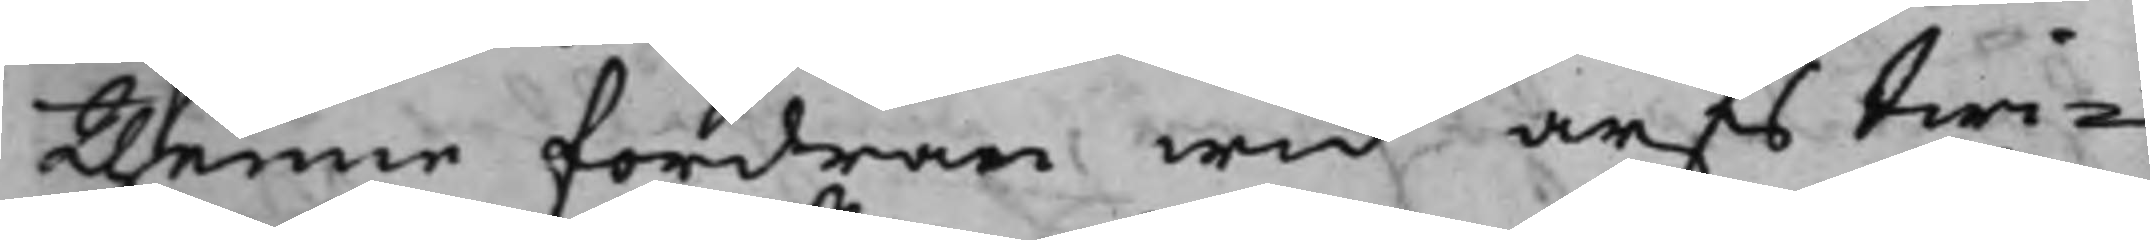thenne fordran wid arfs twi¬
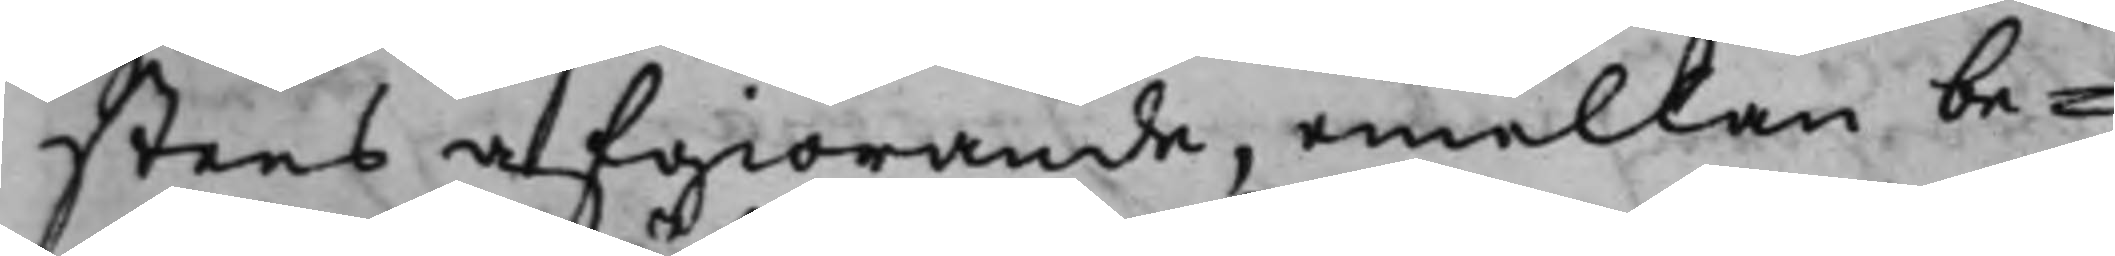stens afgiörande, emellan be¬
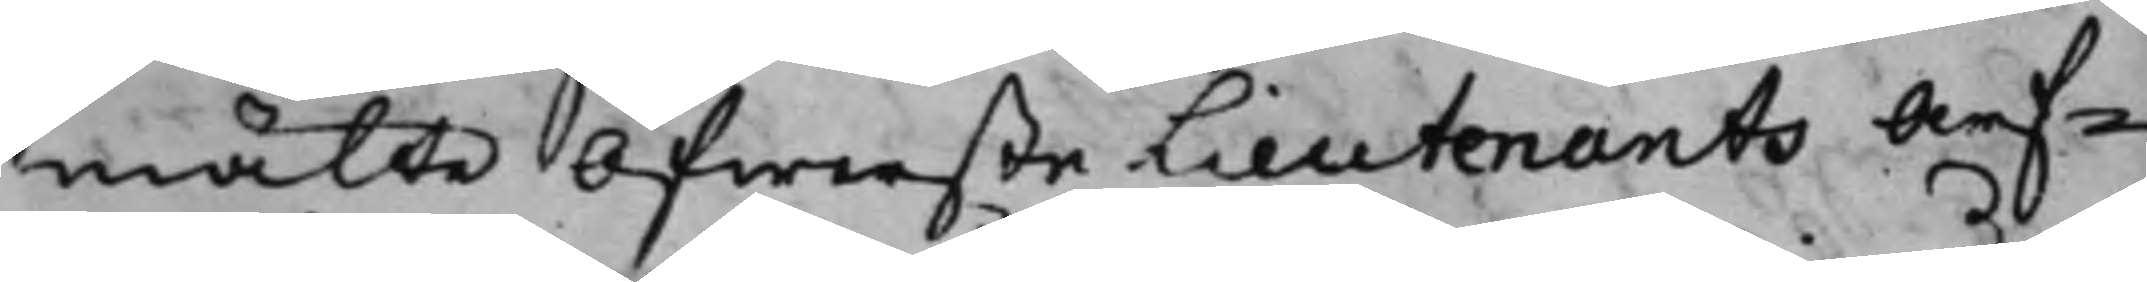mälte Öfwerste Lieutenants Arf¬
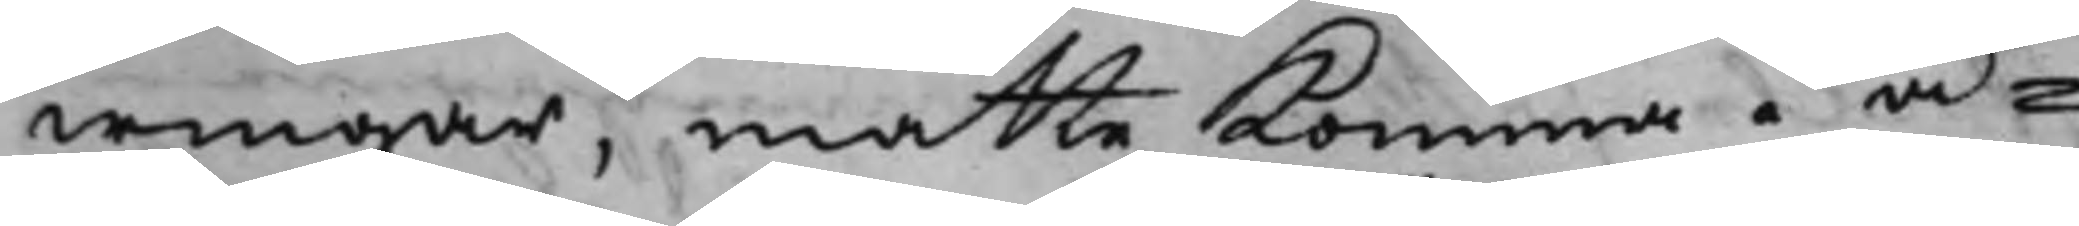wingar, måtte komma i å¬
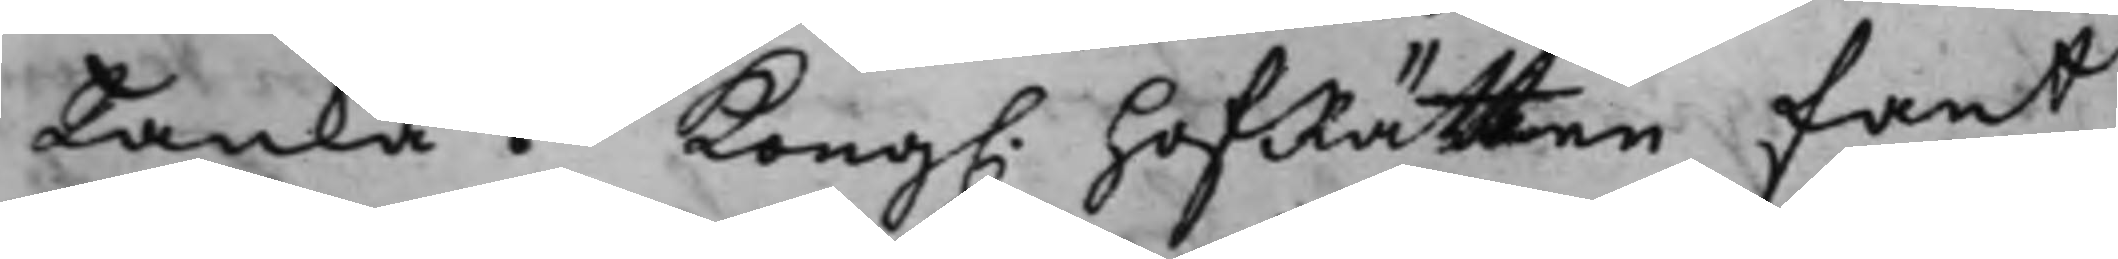tanka. Kong. HofRätten fant
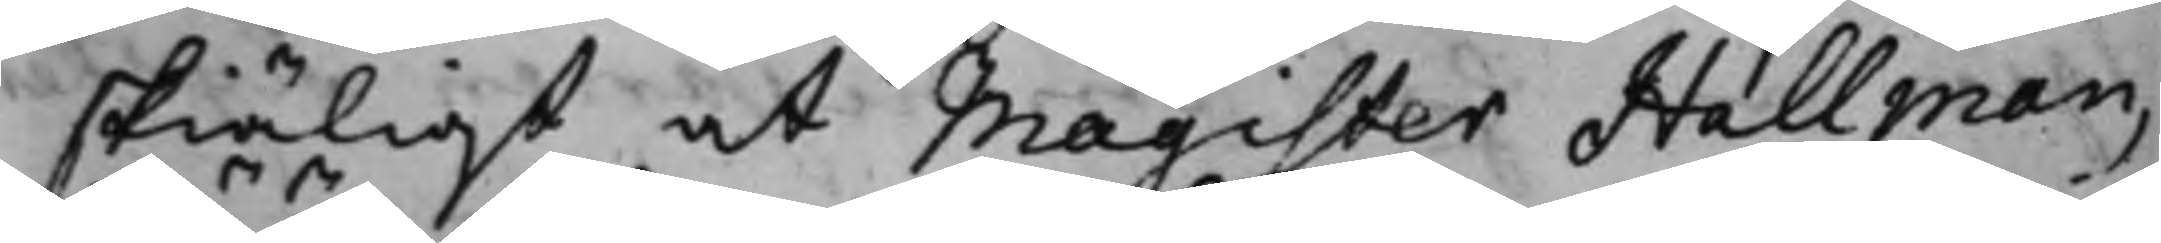skiäligt at Magister Hallman,
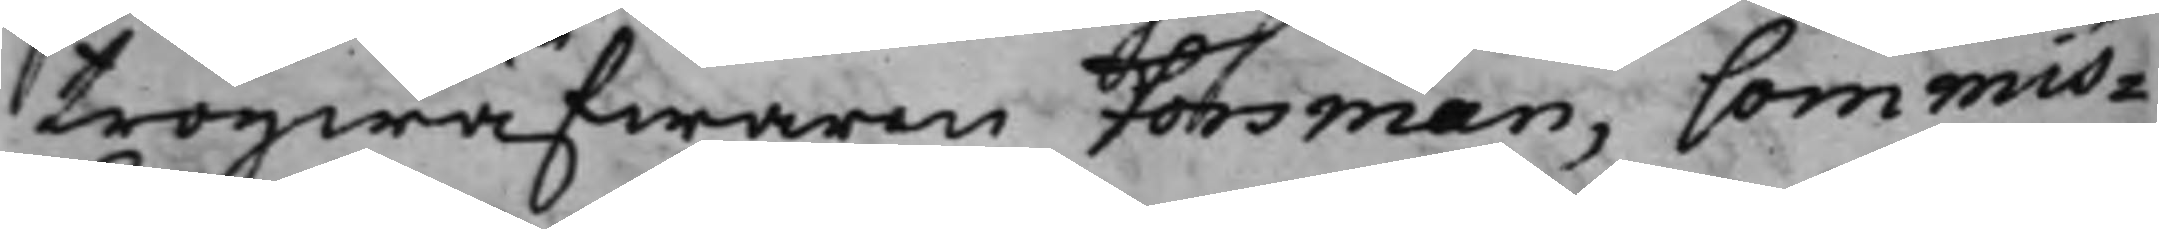tröijwäfwaren Forsman, Commis¬
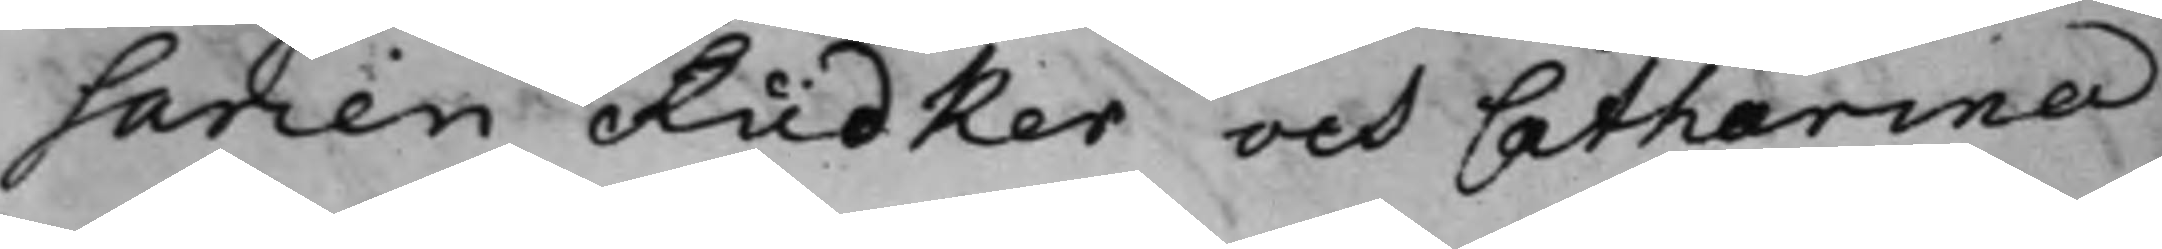sarien Rüdker och Catharina
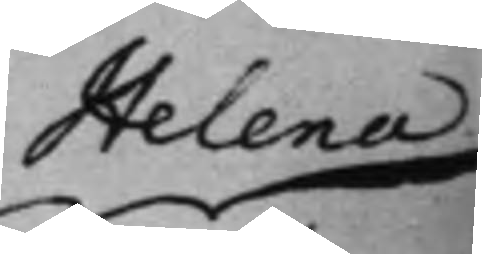Helena
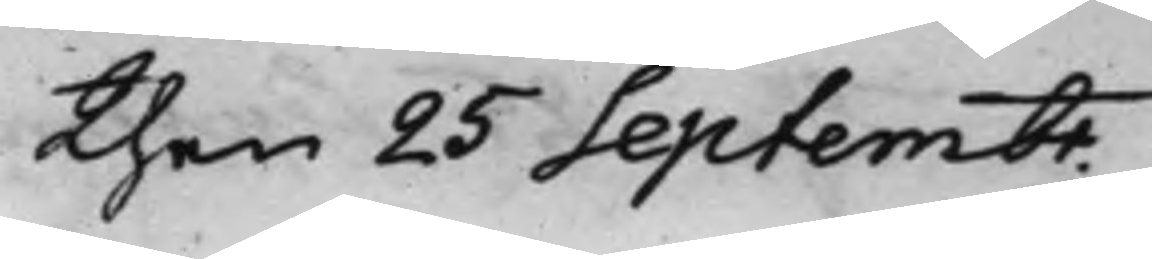then 25 Septembr.
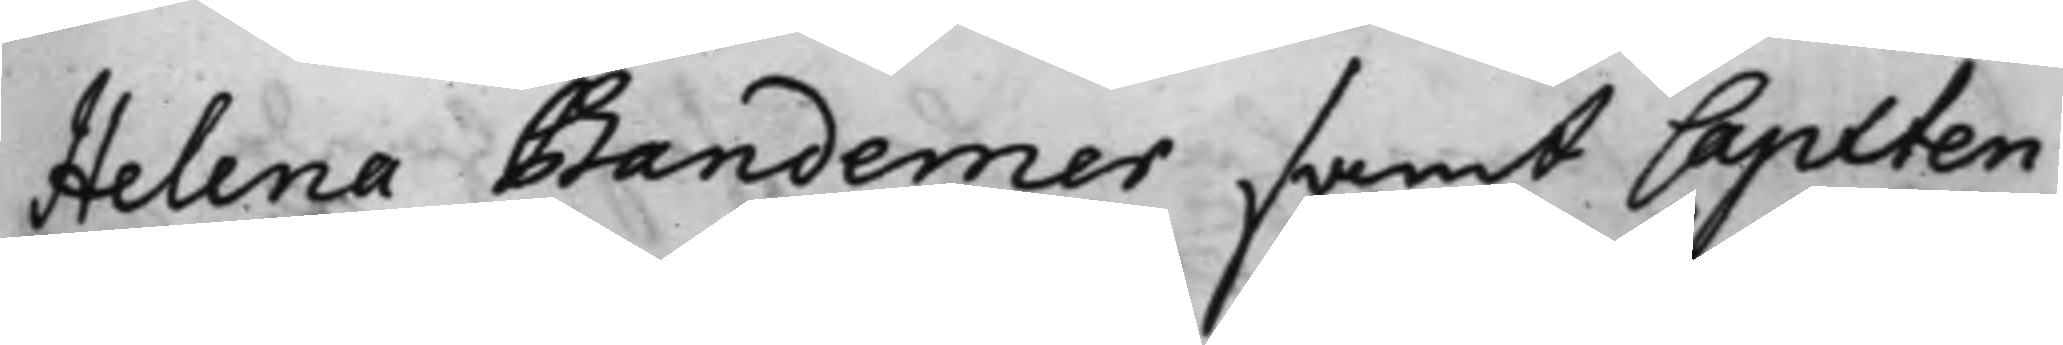Helena Bandemer samt Capiten
